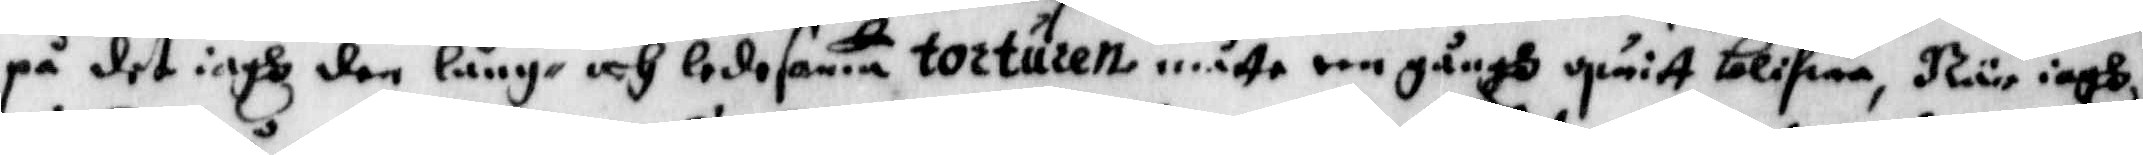på det iagh den lång- och ledesama torturen måtte een gångh qwitt blifwa, När iagh
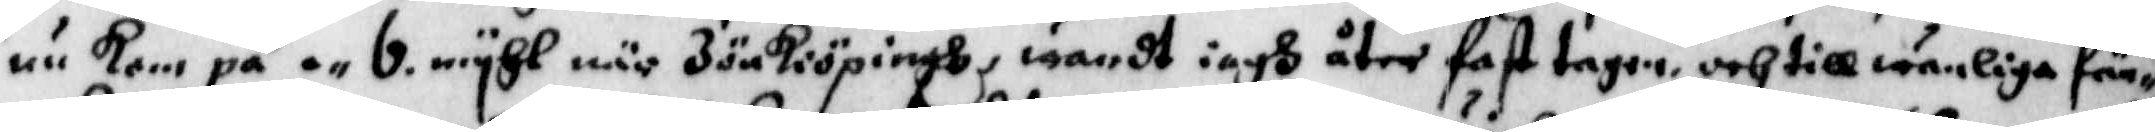nu kom på en 6 myhl när Jönkiöpingh, wardt iagh åter fasttagen och till wanliga fän¬
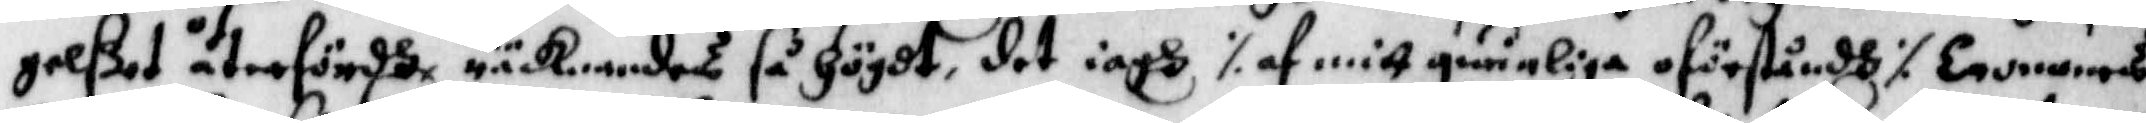gelßet återfördh, räcknandes så högdt, det iagh ./. af mitt qwinliga oförståndh ./. levenes
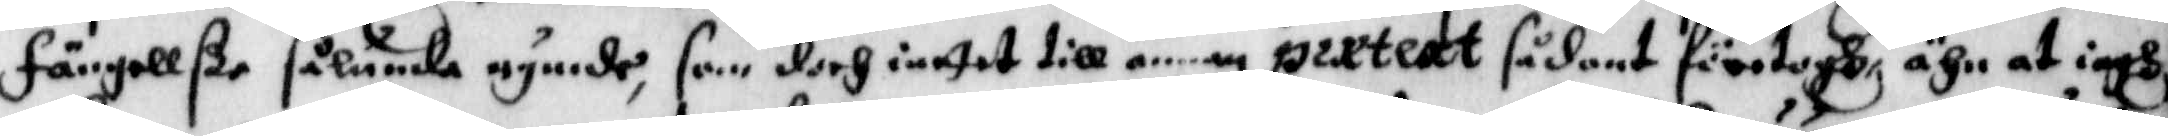fängellße sålunda rymde, som doch inntet till a..an partext sådant företogh ähn at iagh,
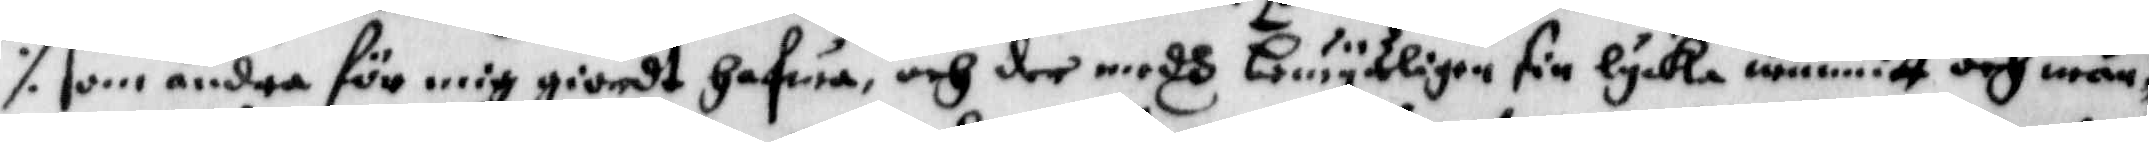./. som andra för mig giordt hafwa, och der medh bewysligen sin lycka wunnit och mån¬
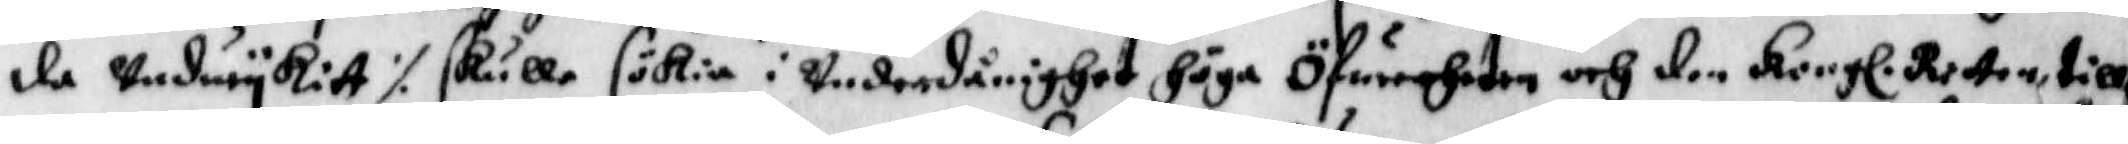de undwykitt ./. skulle sökia i underdånighet höga öfwerheten och den Kongl. Retten till
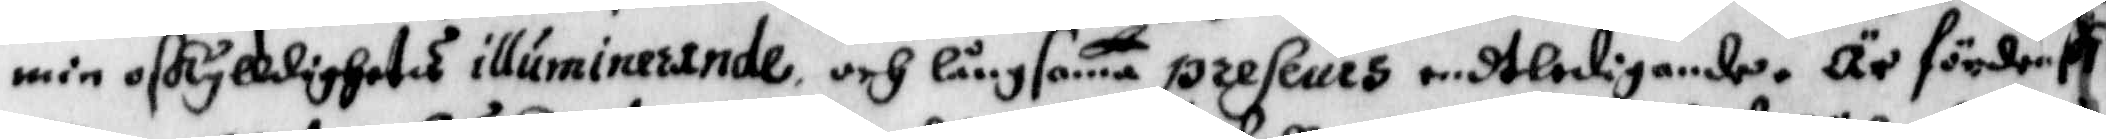min oskylldighets illuminerande, och långsama preseues endtledigande. Är förden 
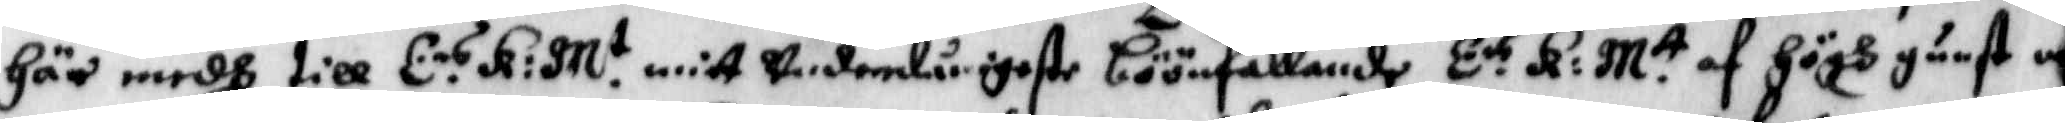här medh till E.rs K: M.t mitt underdånigeste böönfallande E.rs K: M.tt af högh gunst och
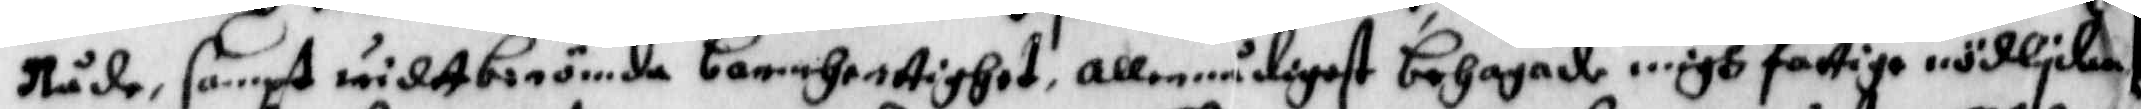Nåde, sampt widtberömda Camehertighet, allernådigest behagade migh fattiga nödlydan
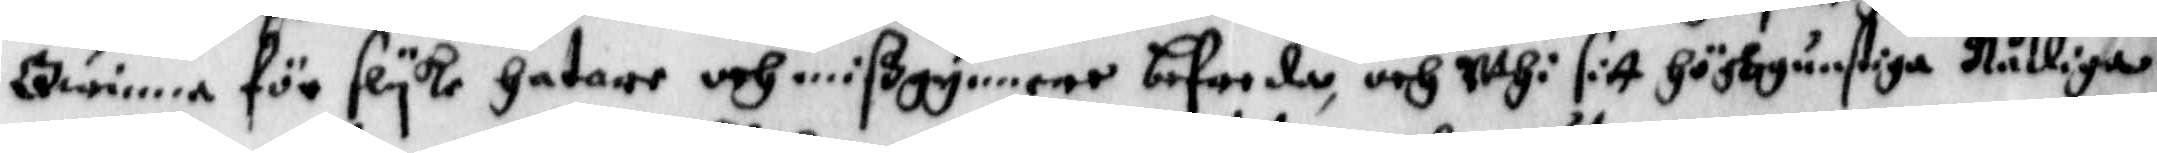Qwinna för slyke hatare och mißgynnere befreda, och uthi sitt höghgunstiga Nådiga
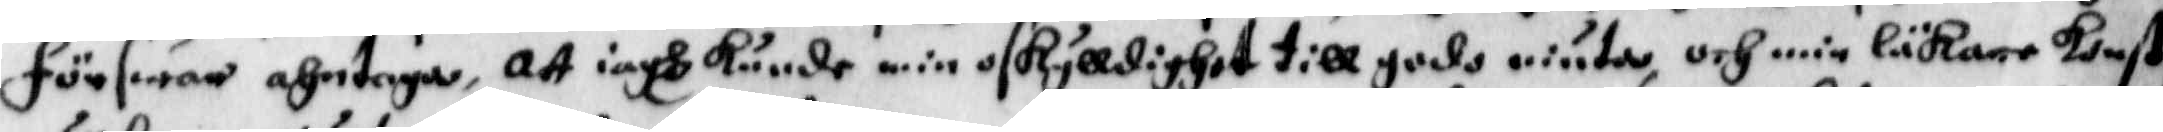förswar ahntaga, Att iagh kunde min oskylldighet till godo niuta, och min läkare konst
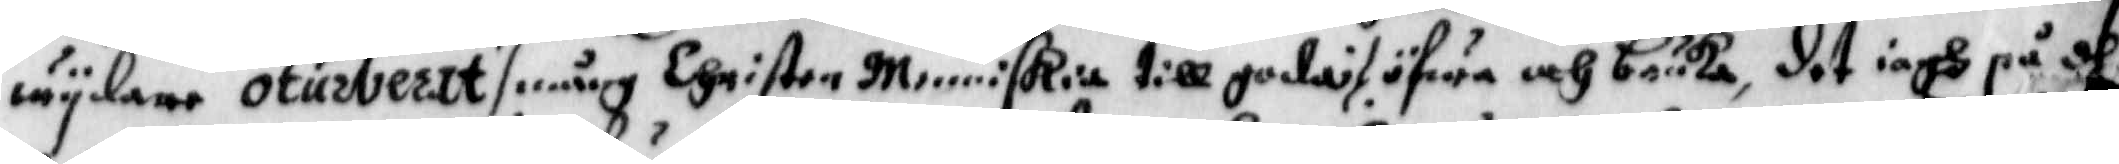wydare oturberat ./. mång Christen Menniskia till goda ./. öfwa och bruka, det iagh på dhe
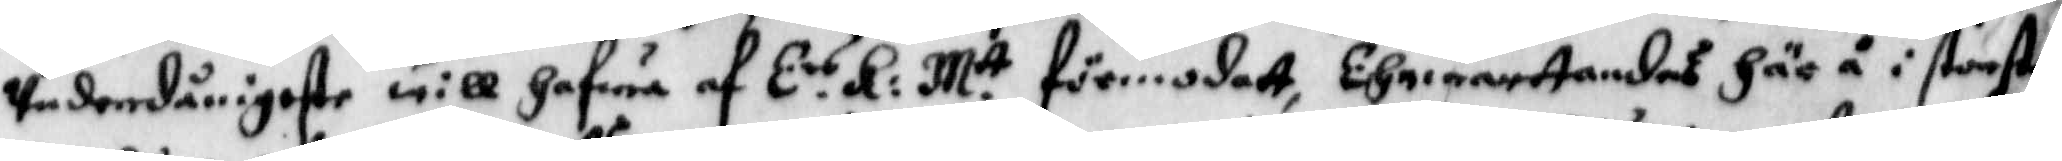underdånigeste will hafwa af E.rs K: M.tt förmodatt, Ehrwarttandes här å i största
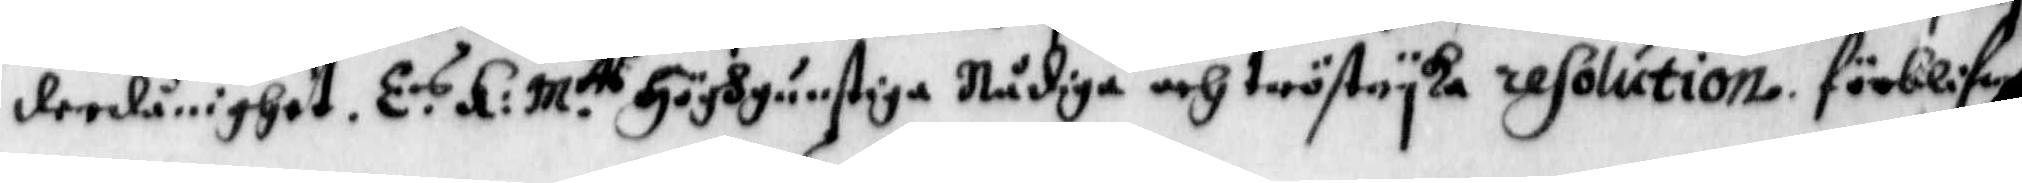derdånighet. E.s K: M.ts höggunstiga Nådiga och tröstryka resolution. förblifw
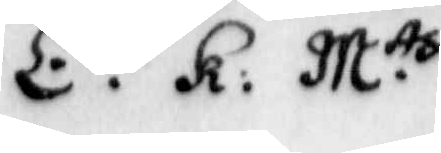E.rs K: M.tts
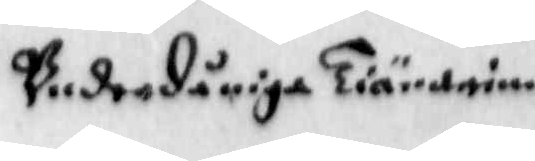Underdåniga Tiänarinna
